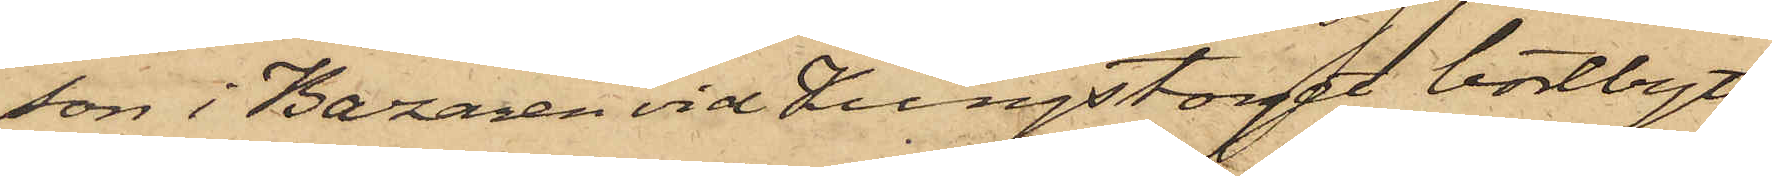son i Bazaren vid Kungstorget bortbytt
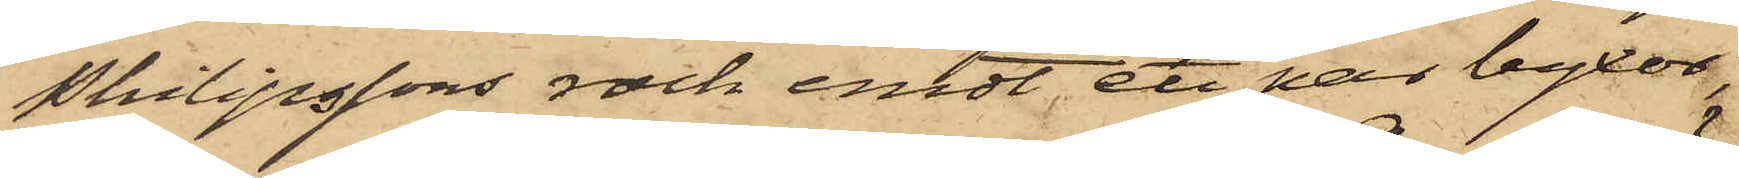Philipssons rock emot ett par byxor,
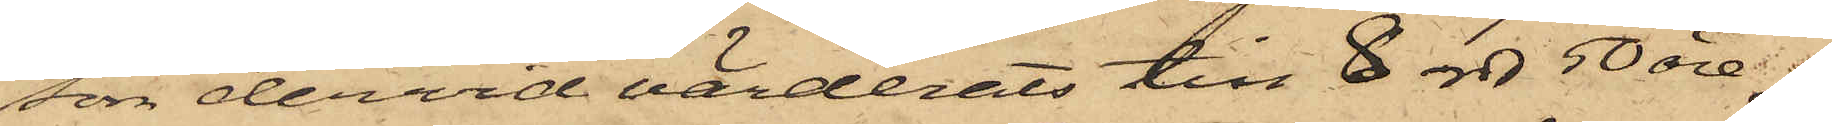som dervid värderats till 8 rdr 50 öre;
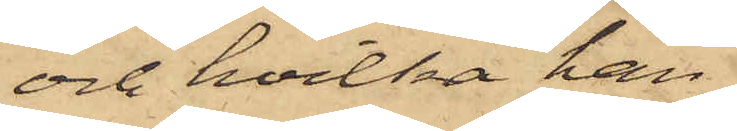och hvilka han
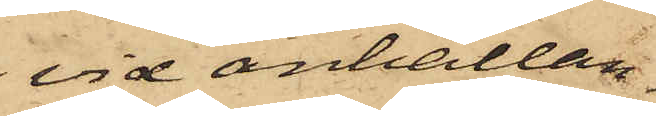vid anhållan¬
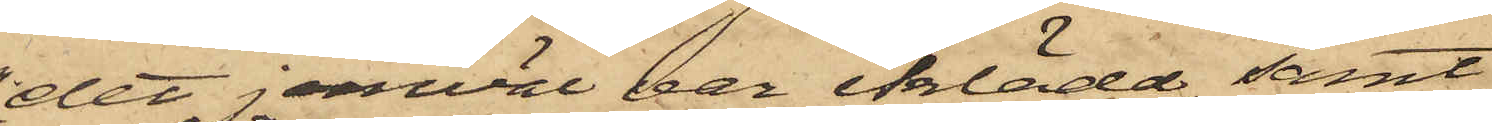det jemväl var iklädd samt
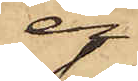er¬
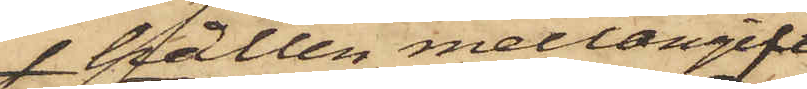hållen mellangift
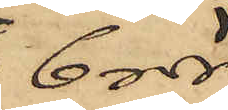6 rdr;
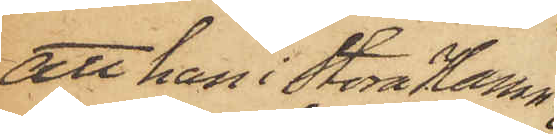att han i Stora Hamn¬
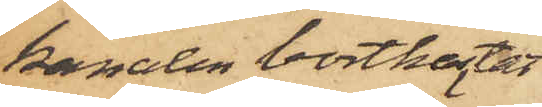kanalen bortkastat
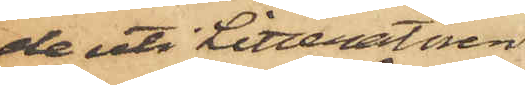de uti Litteratören
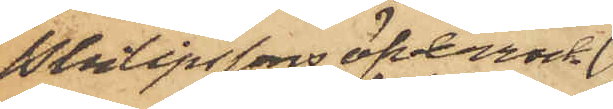Philipssons öfverrock
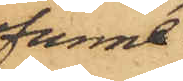funne
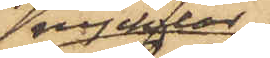nycklar,
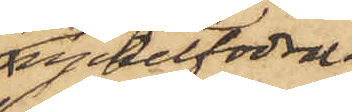nyckelfodral,
